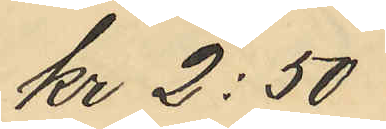kr 2:50
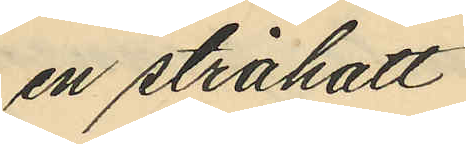en stråhatt
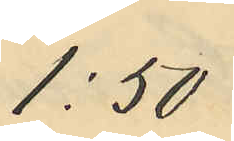1:50
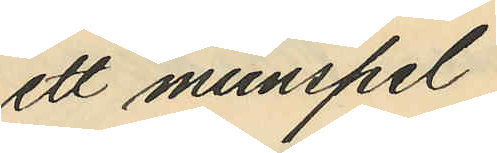ett munspel
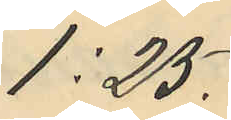1:25.
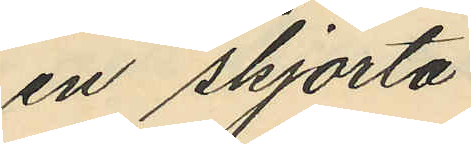en skjorta
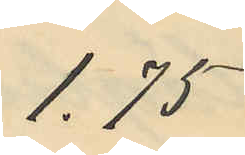1.75
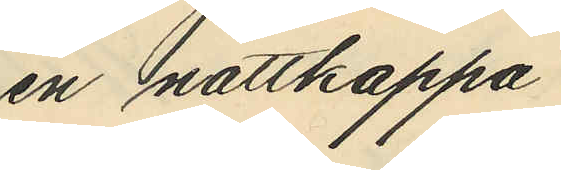en nattkappa
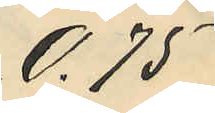0.75
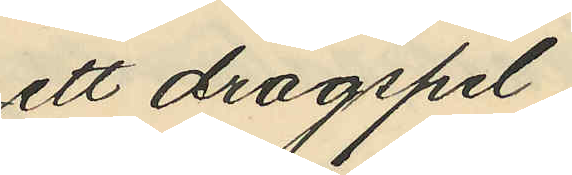ett dragspel
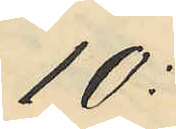10:
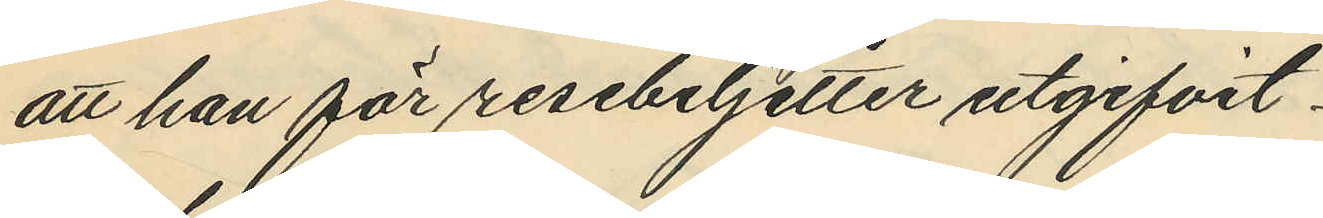att han för resebiljetter utgifvit:
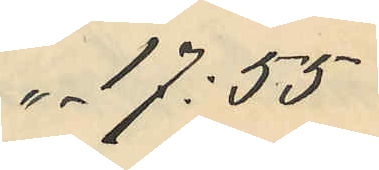" -  17:55
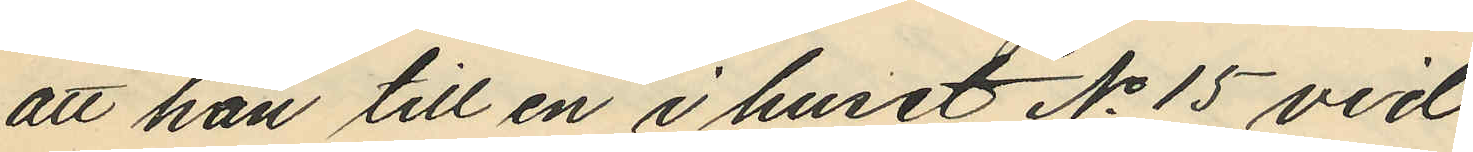att han till en i huset No 15 vid
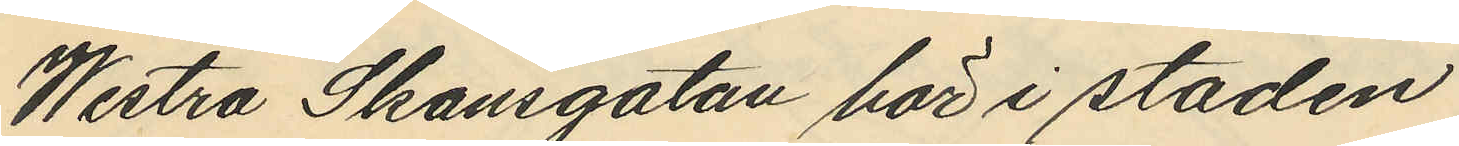Westra Skansgatan här i staden
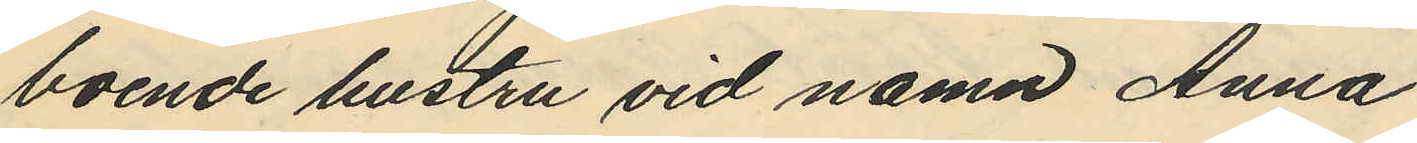boende hustru vid namn Anna
